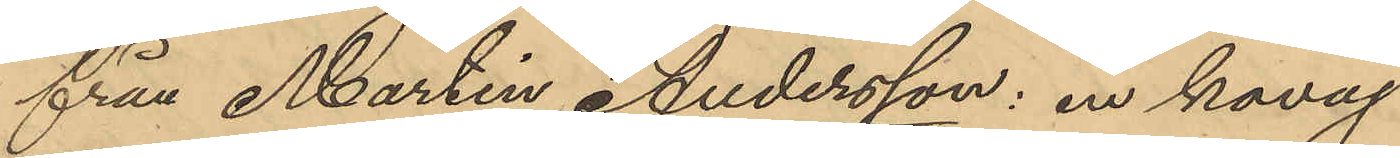från Martin Andersson: en kavaj
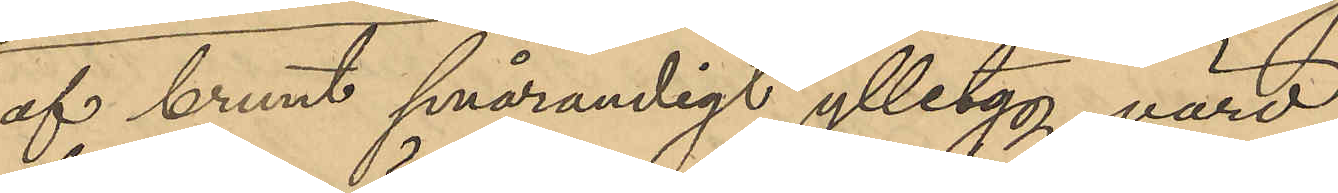af brunt smårandigt ylletyg, värd
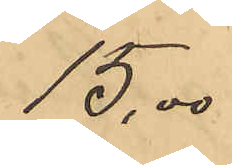15,00
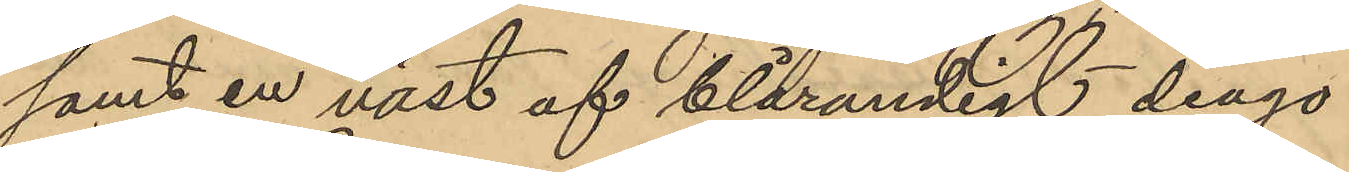samt en väst af blårandigt diago¬
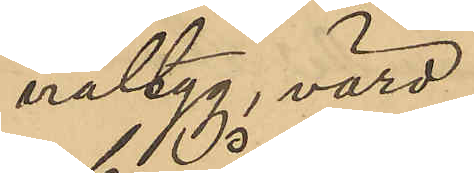naltyg, värd
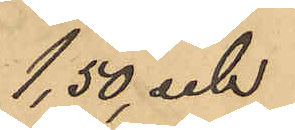1,50, och
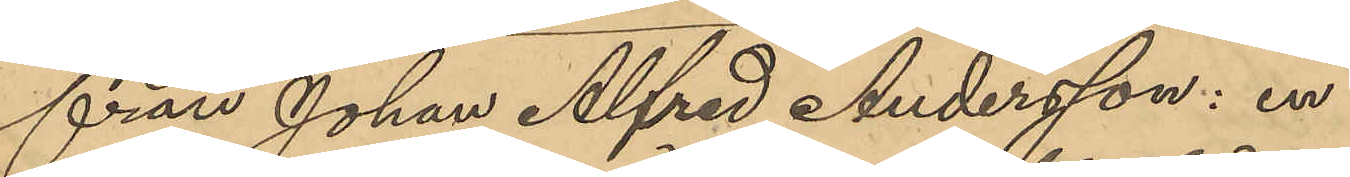från Johan Alfred Andersson: en
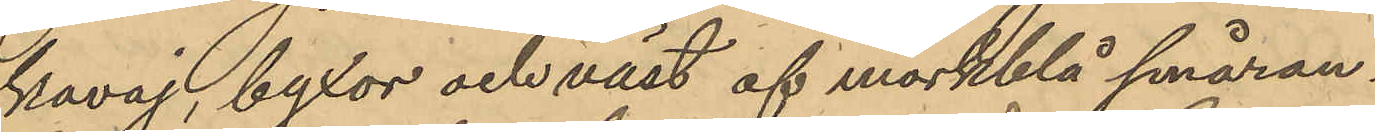kavaj, byxor och väst af mörkblå småran¬
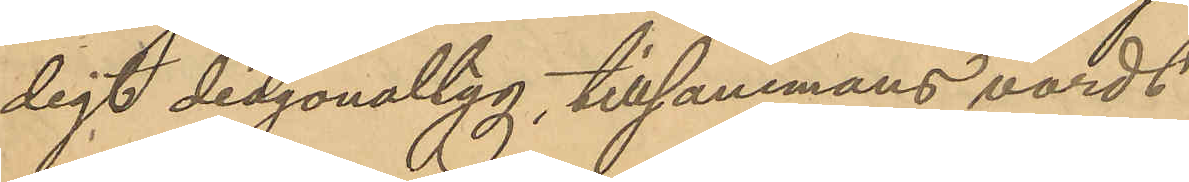digt diagonaltyg, tillsammans värdt
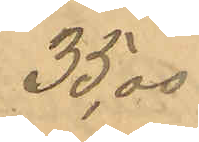35,00
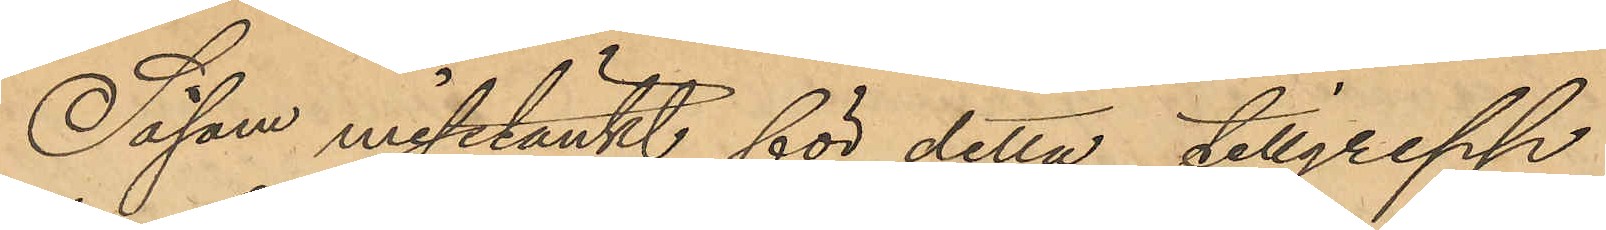Såsom misstänkt för detta tillgrepp
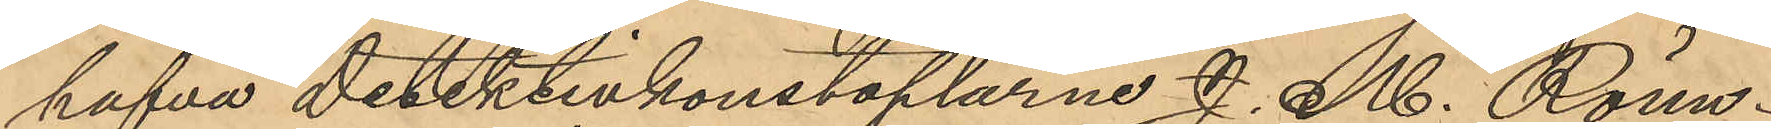hafva detektivkonstaplarne J. M. Rönn¬
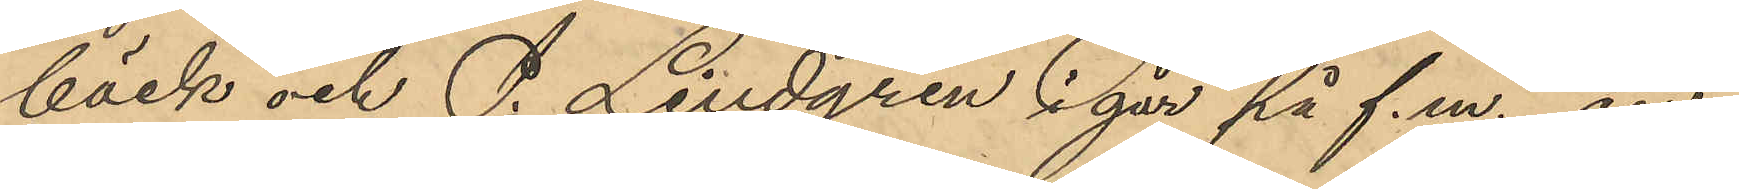bäck och P. Lindgren i går på f.m. an¬
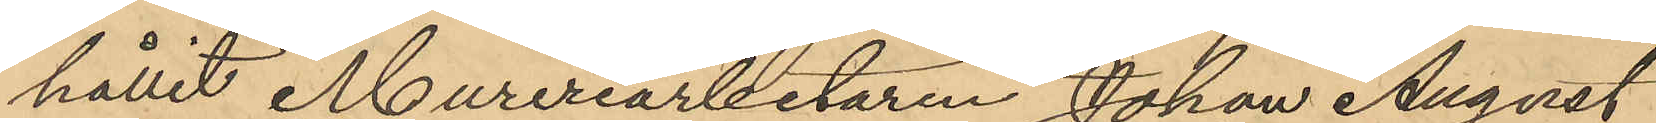hållit Mureriarbetaren Johan August
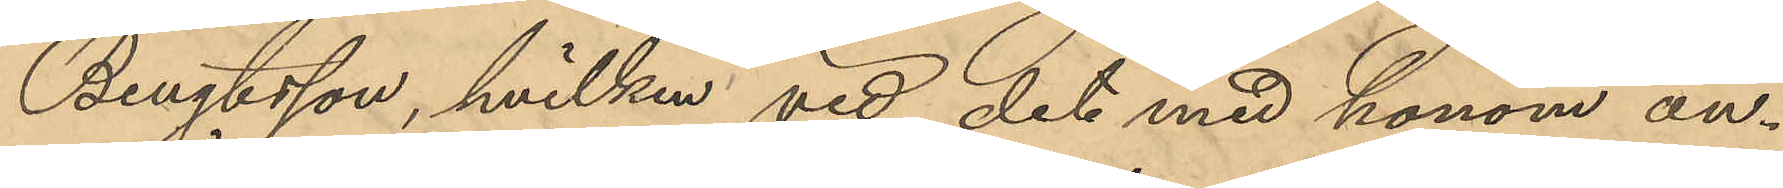Bengtsson, hvilken vid det med honom an¬
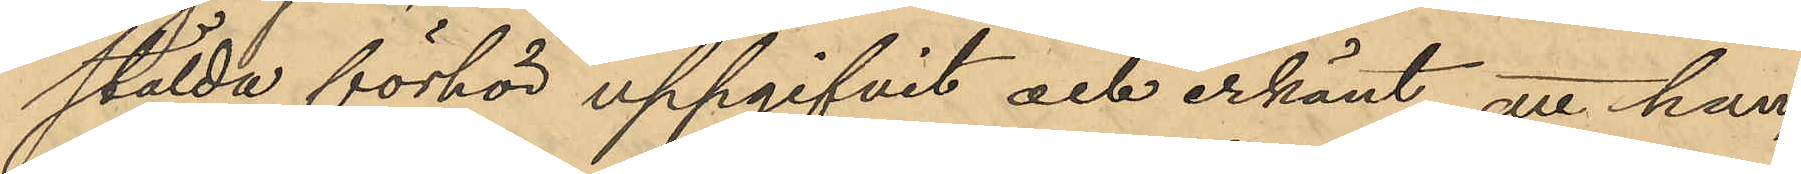stälda förhör uppgifvit och erkänt, att han
